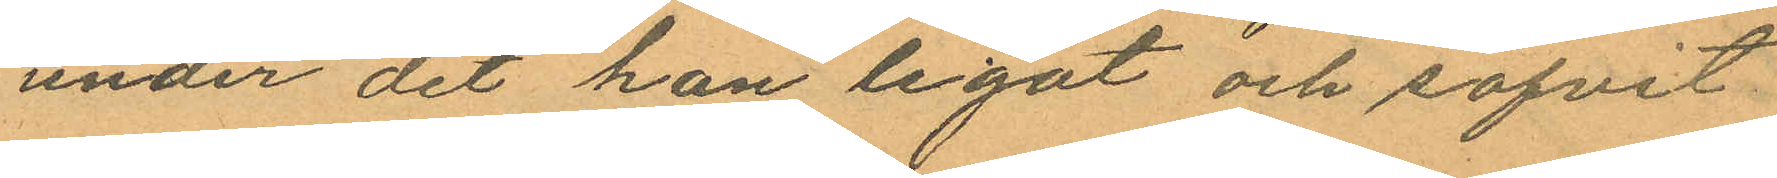under det han legat och sofvit
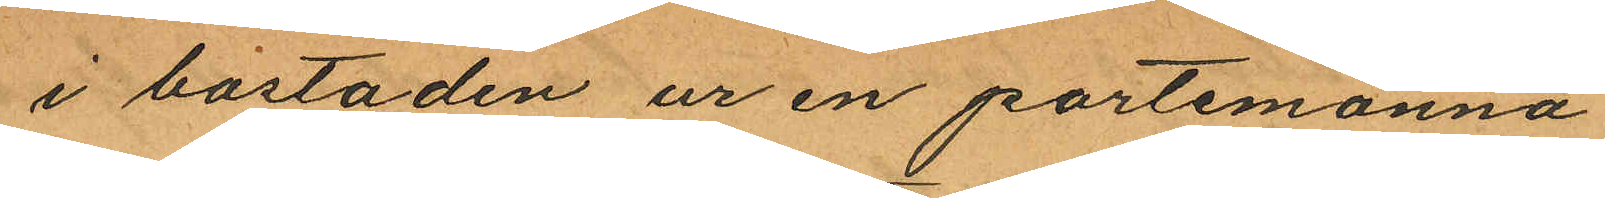i bostaden ur en portemonnä
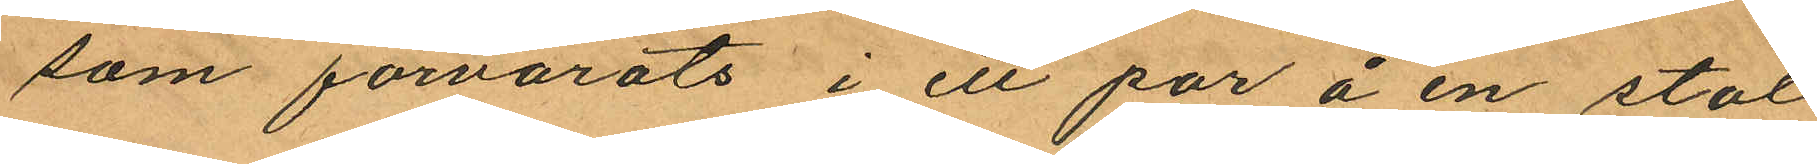som förvarats i ett par å en stol
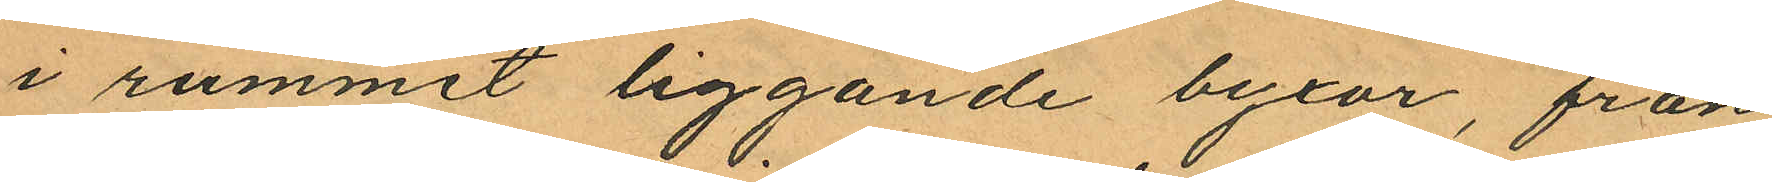i rummet liggande byxor, från
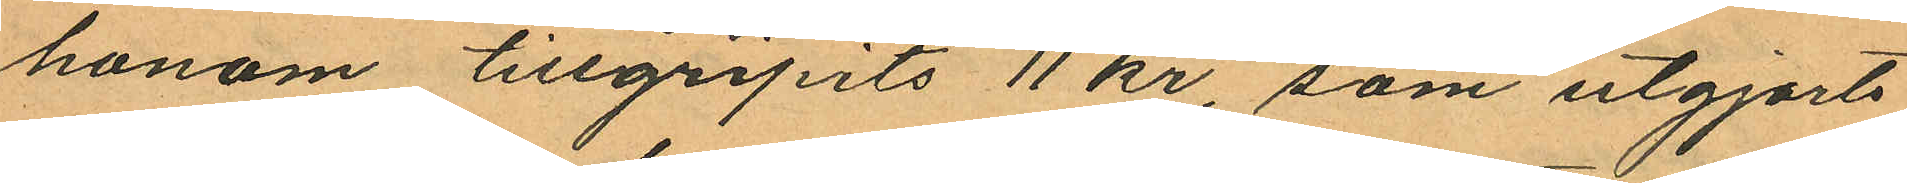honom tillgripits 11 kr, som utgjorts
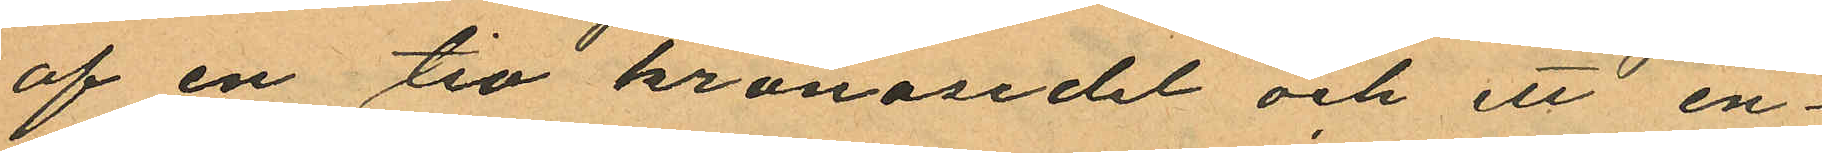af en tio kronosedel och ett en¬
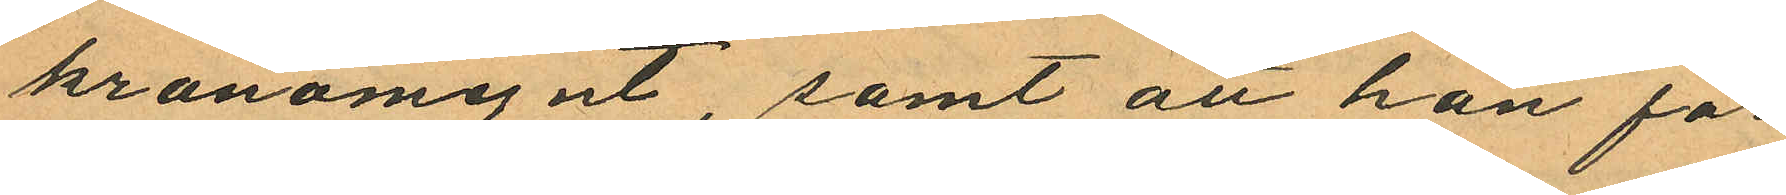kronomynt, samt att han för
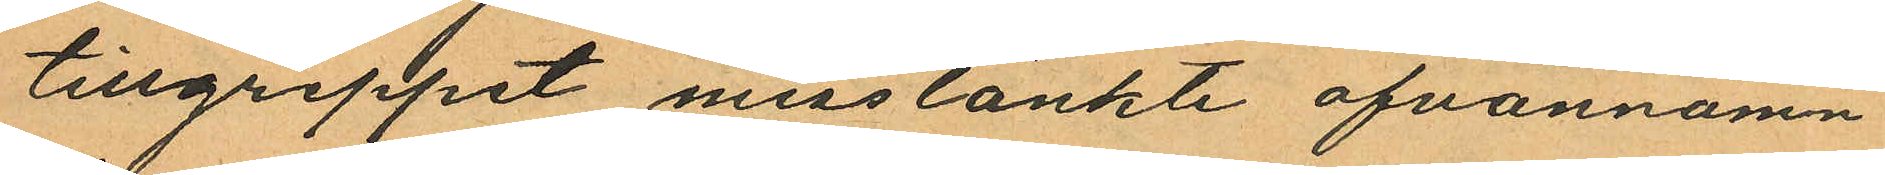tillgreppet misstänkte ofvannämn¬
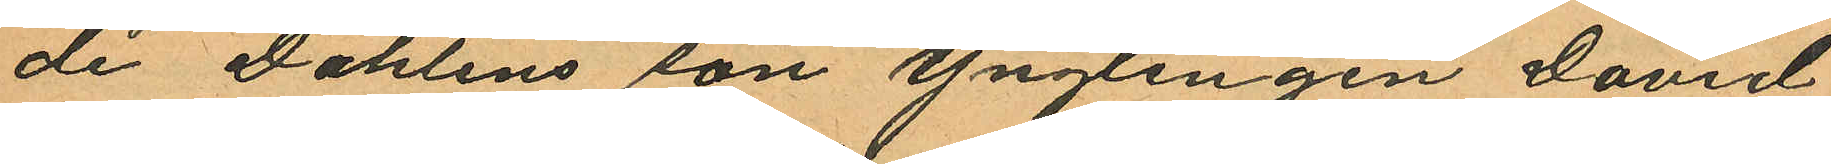de Dahlins son ynglingen David
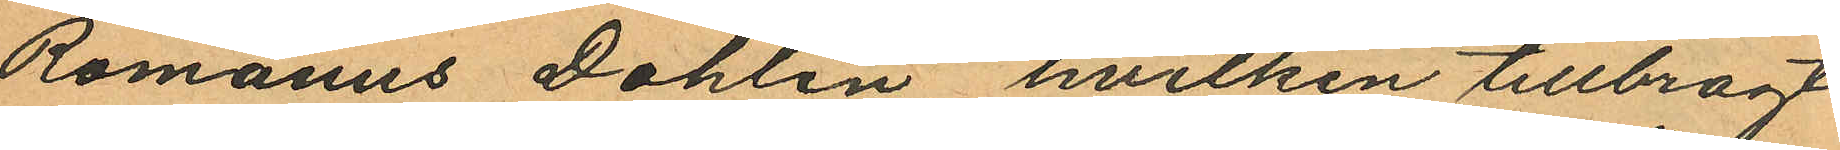Romanus Dahlin hvilken tillbragt
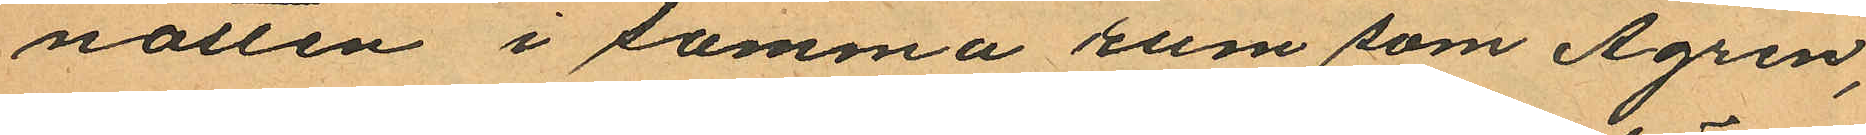natten i samma rum som Ågren,
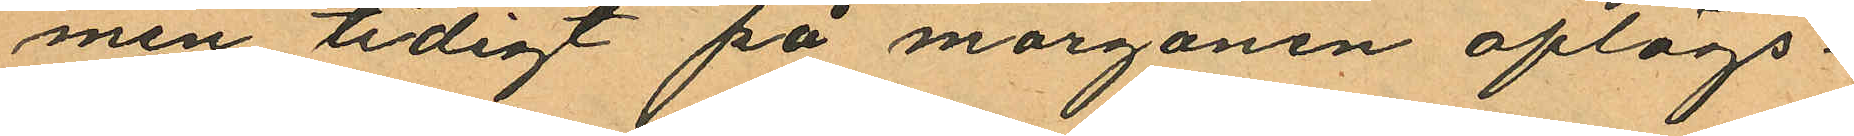men tidigt på morgonen aflägs¬
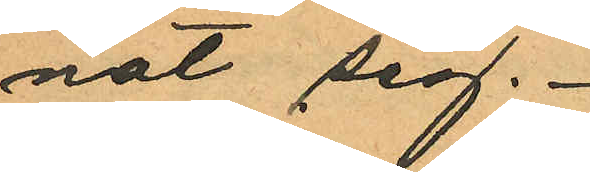nat sig.
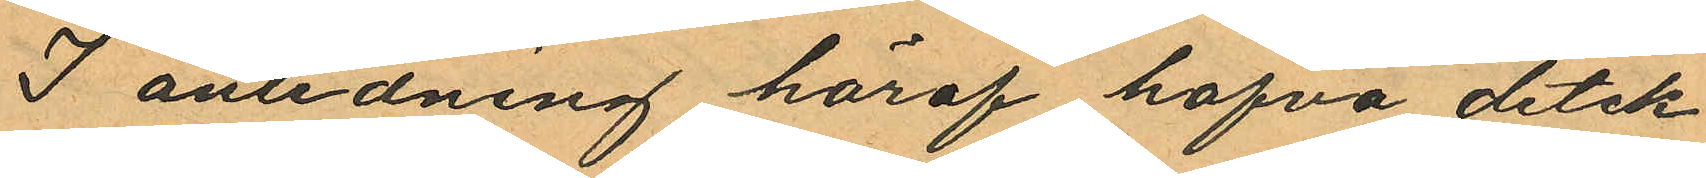I anledning häraf hafva detek¬
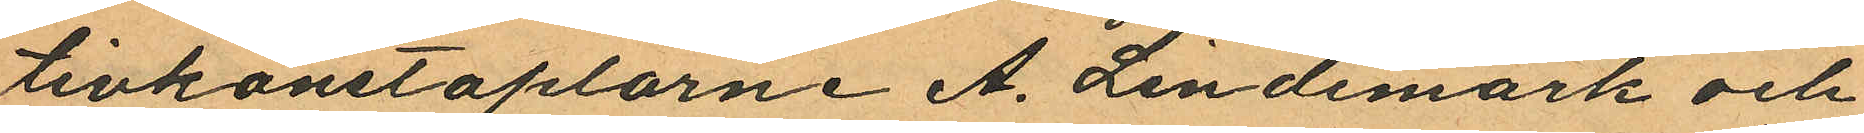tivkonstaplarne A. Lindemark och
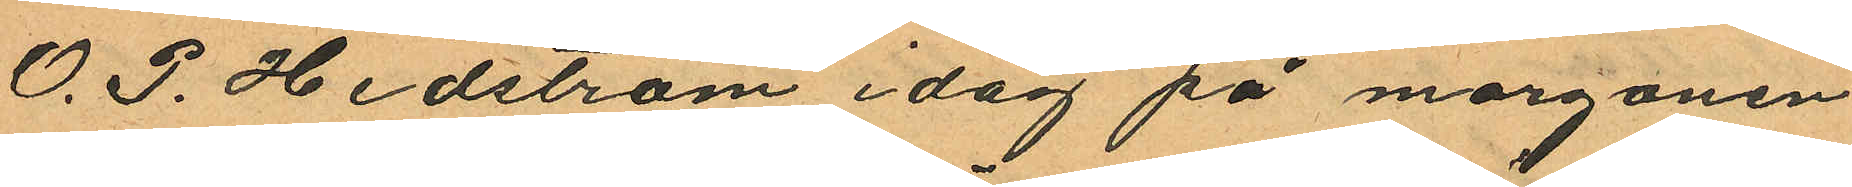O. P. Hedström i dag på morgonen
